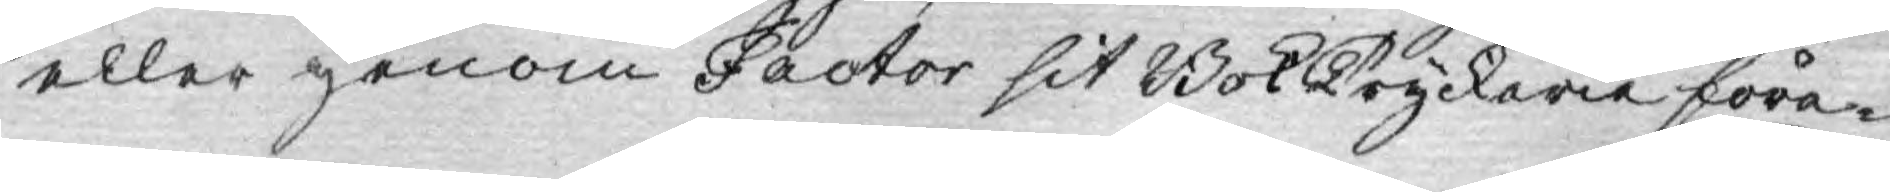eller genom Factor sit BokTryckerie före¬
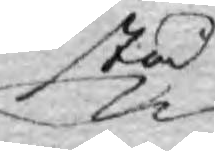stå
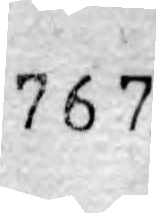767.
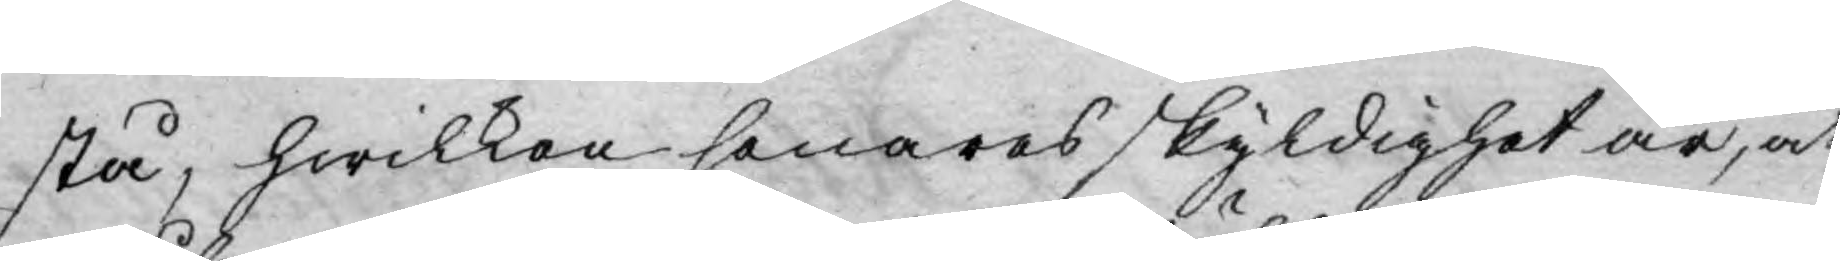stå, hwilken senares skyldighet är, at
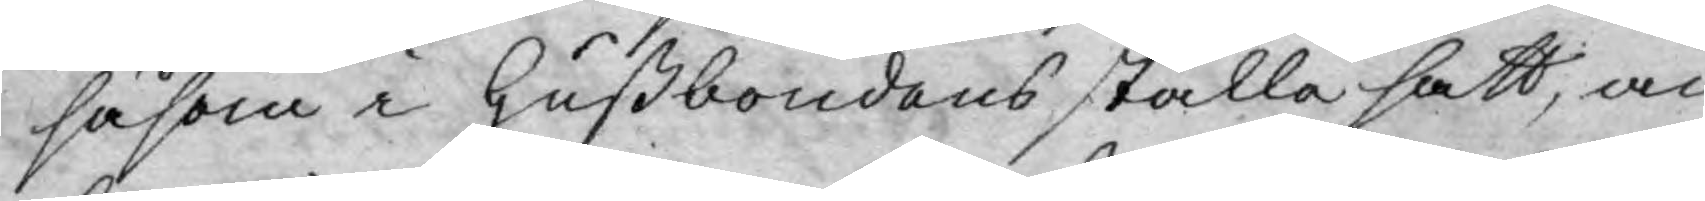såsom i hußbondens ställe satt, an¬
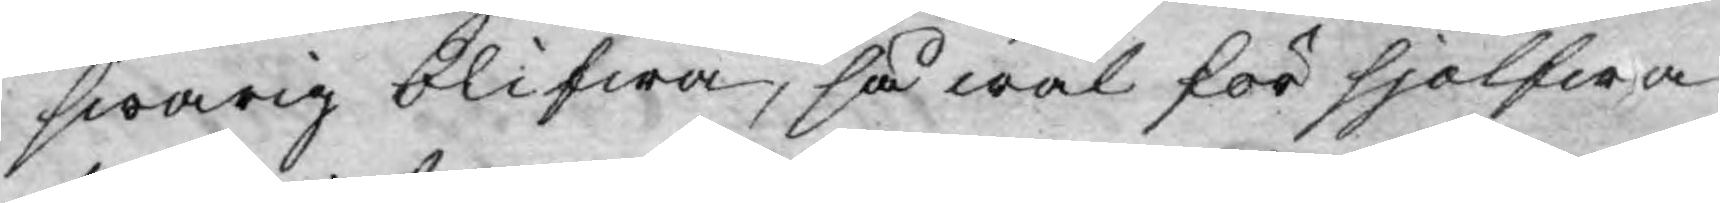swarig blifwa, så wäl för sjelfwa
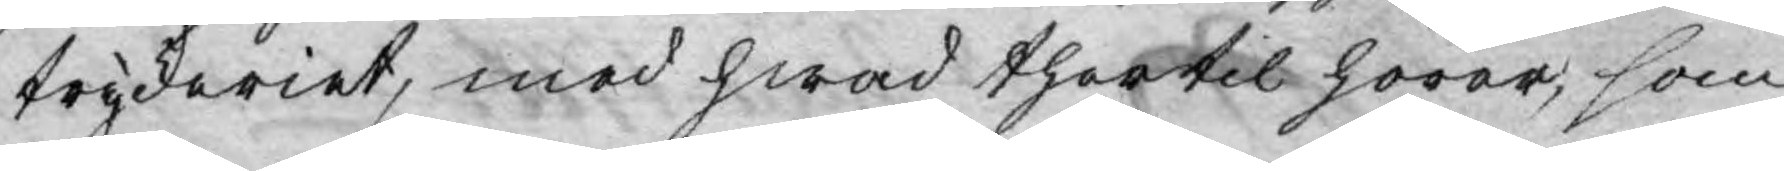tryckeriet, med hwad thertil hörer, som
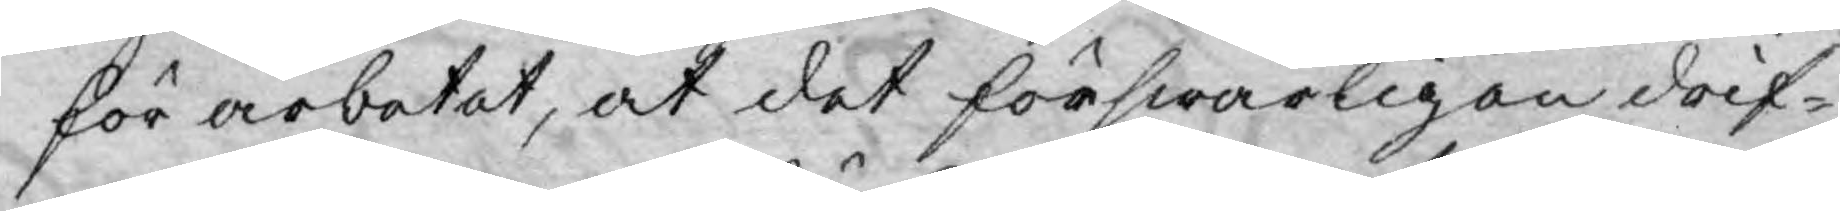för arbetet, at det förswarligen drif¬
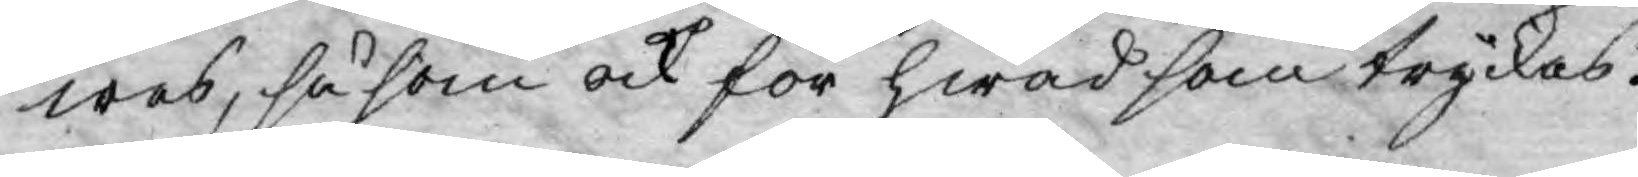wes, så som ock för hwad som tryckas.
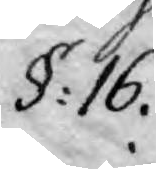§: 16.
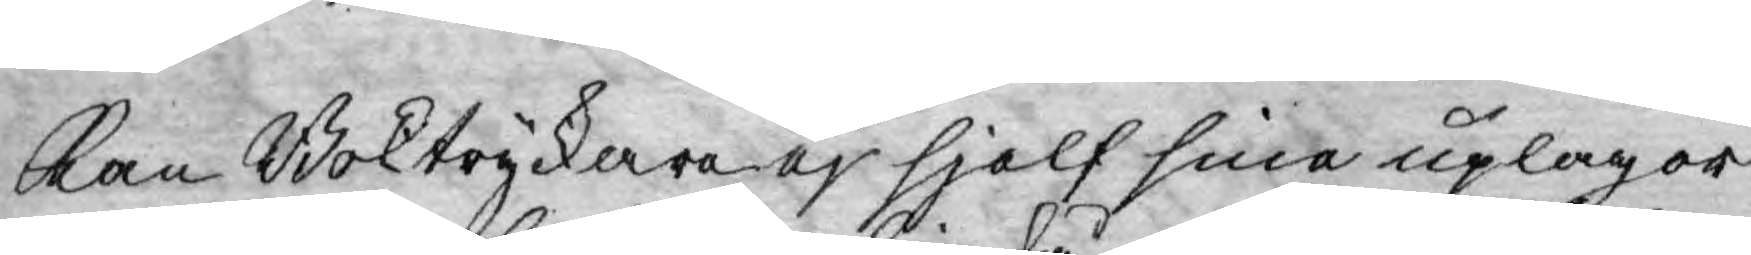Kan Boktryckare ej själf sina uplagor
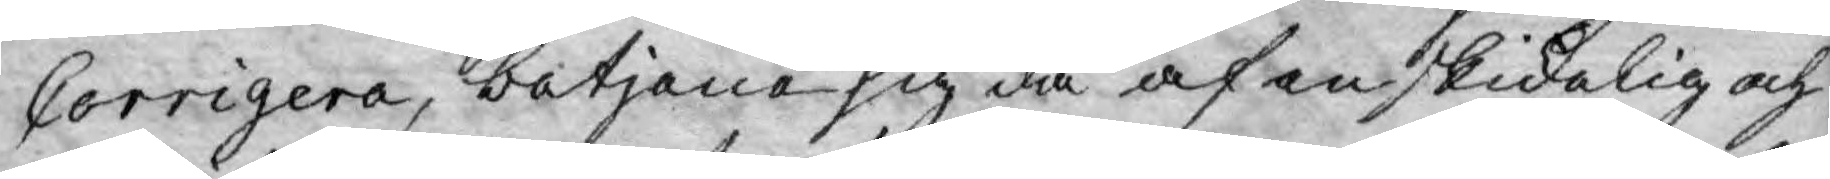Corrigera, betjena sig då af en skickelig och
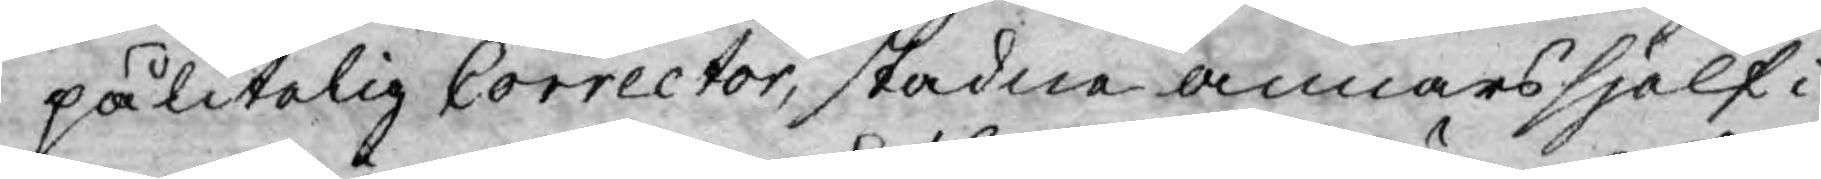pålitelig Corrector, stadne annars själf i
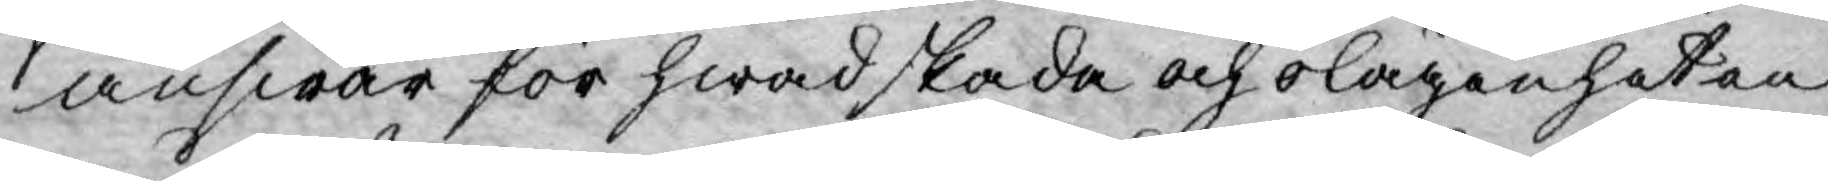answar för hwad skada och olägenheten
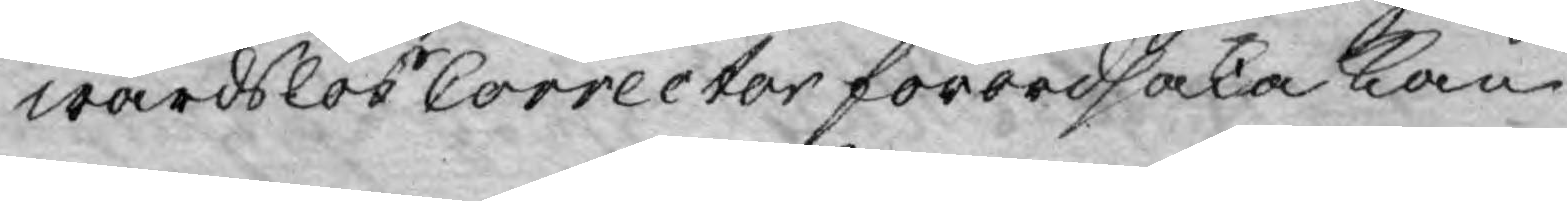wårdslös Corrector förordsaka kan.
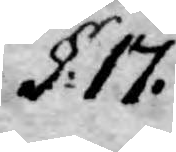§. 17.
